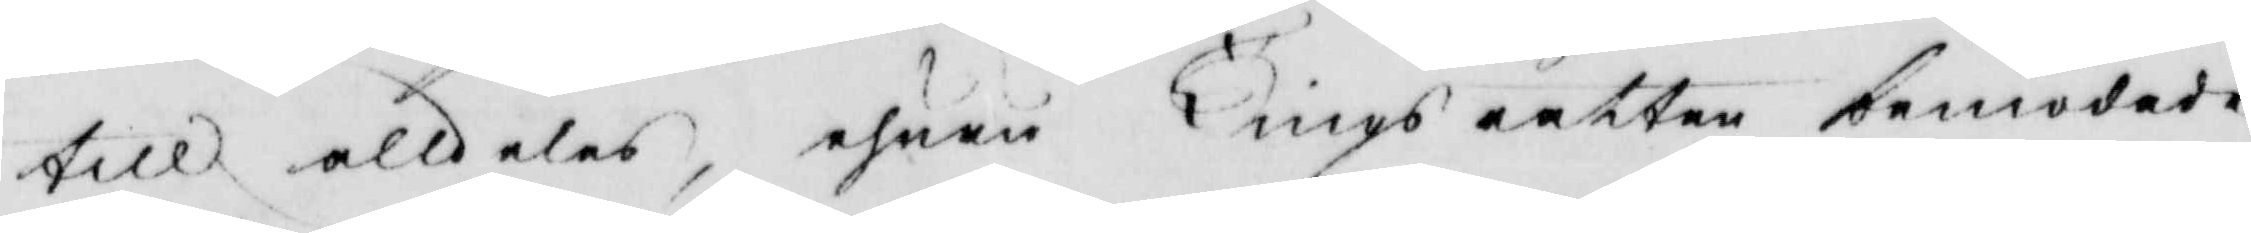till alldeles, ehuru Tingsrätten bemödade
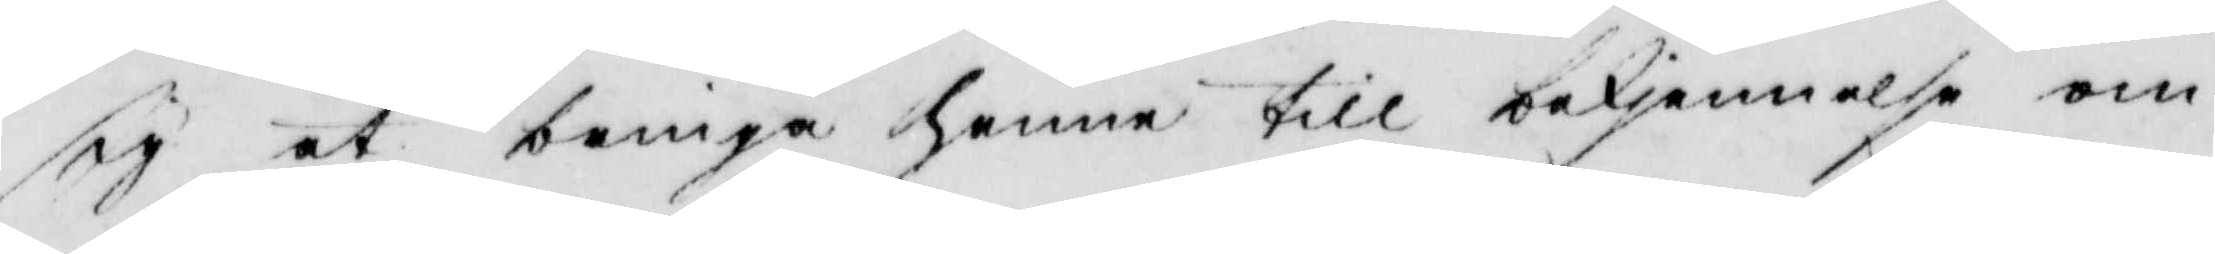sig at bringa henne till bekjennelse om
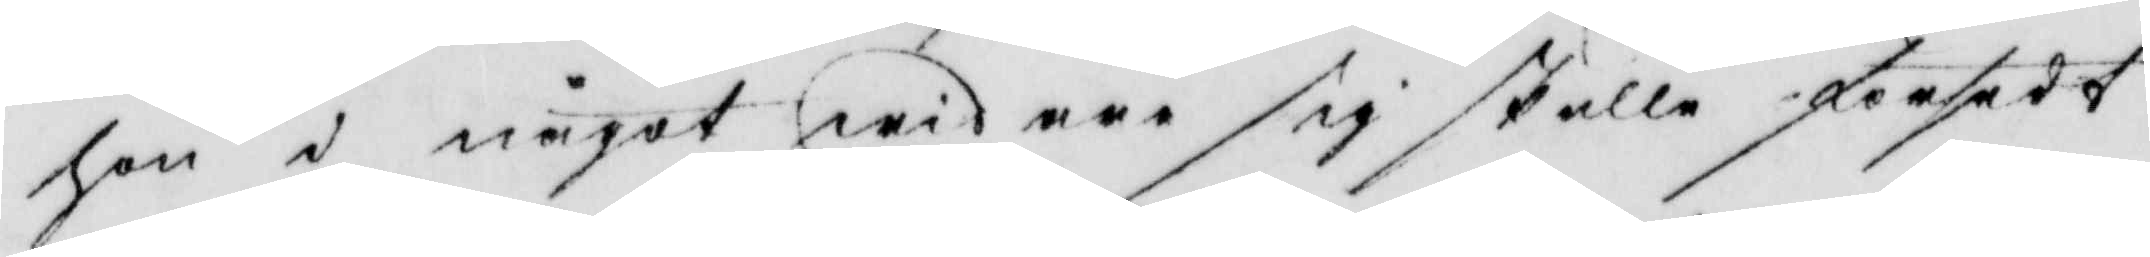hon i något widare sig skulle försedt
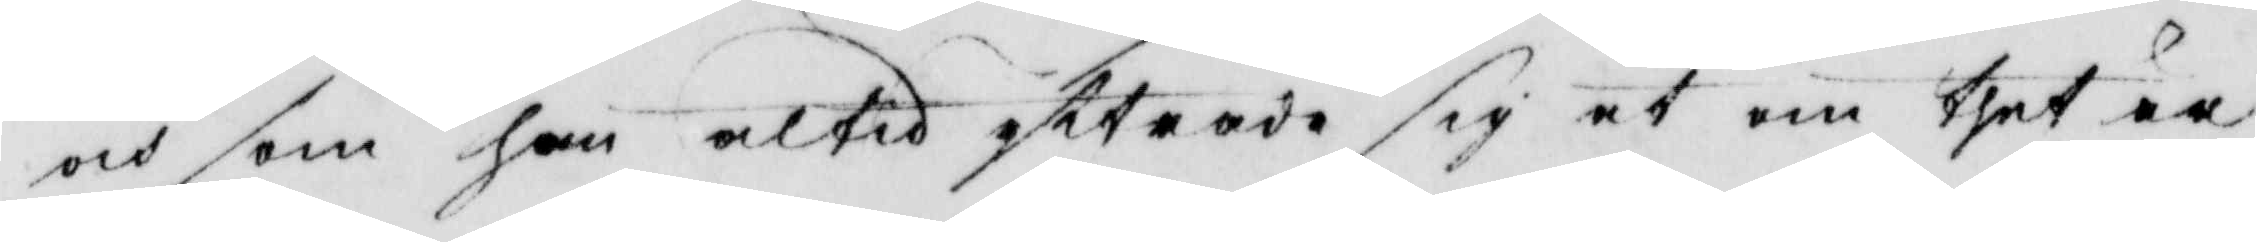och som hon altid yttrade sig at om thet är
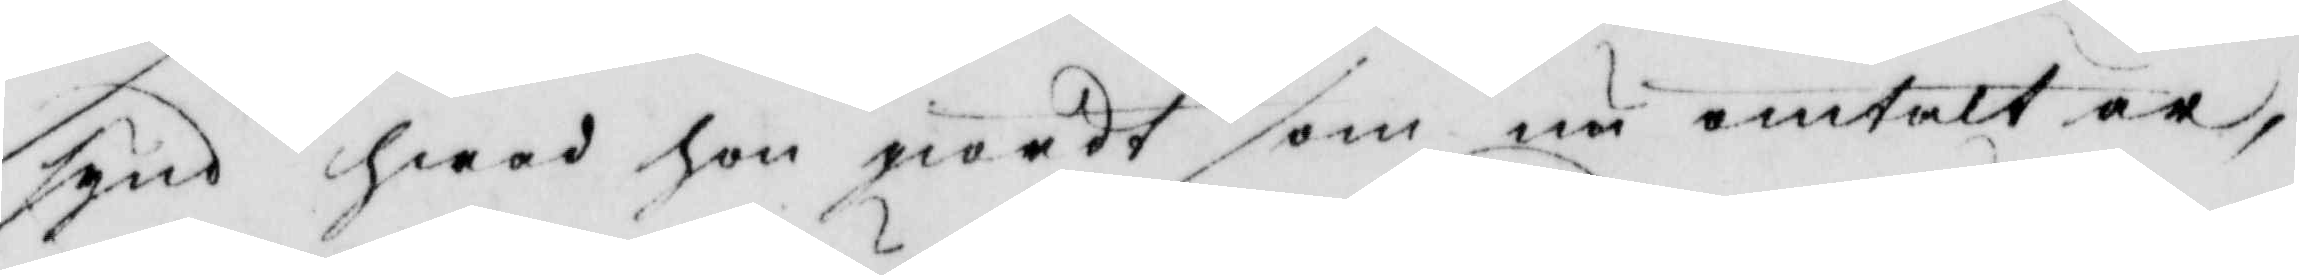synd hwad hon giordt som nu omtalt är,
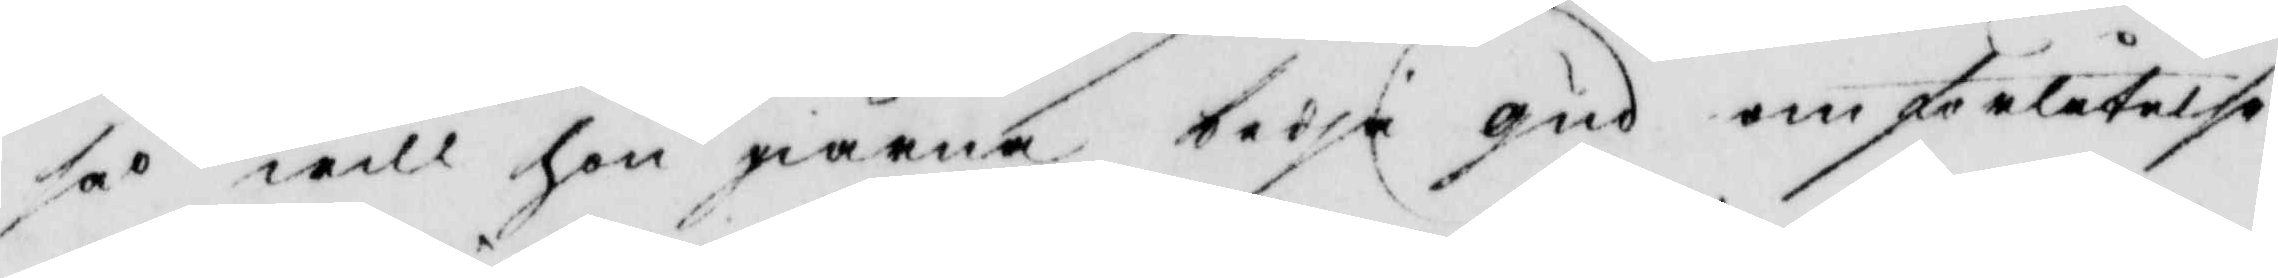så will hon giärna bedja gud om förlåtelse
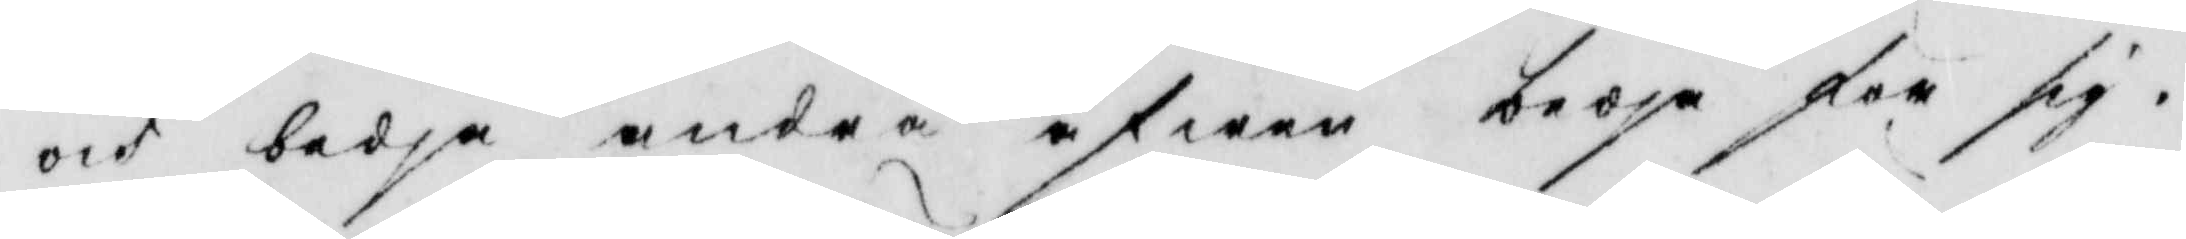och bedja andra äfwen bedja för sig.
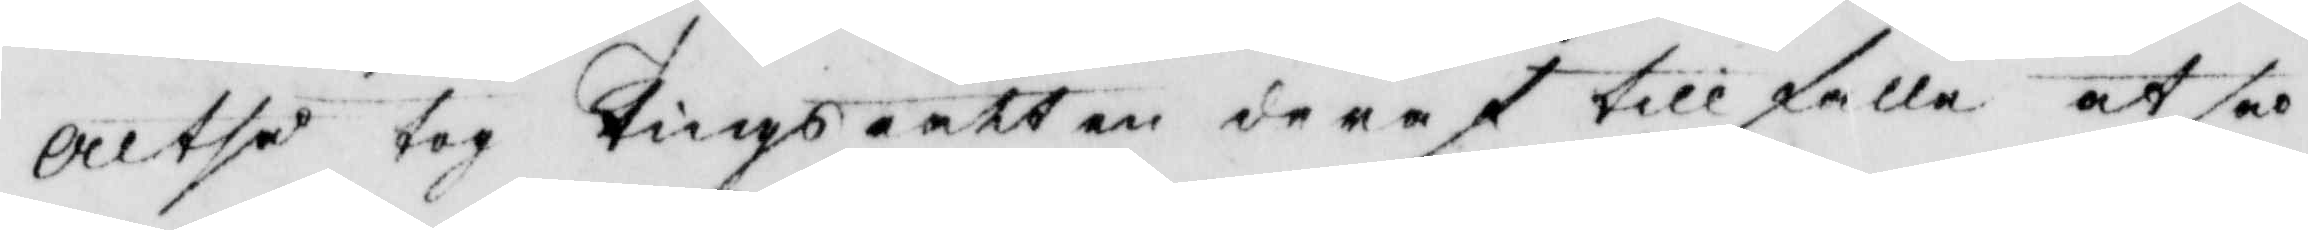Altså tog Tingsrätten deraf tillfälle at så
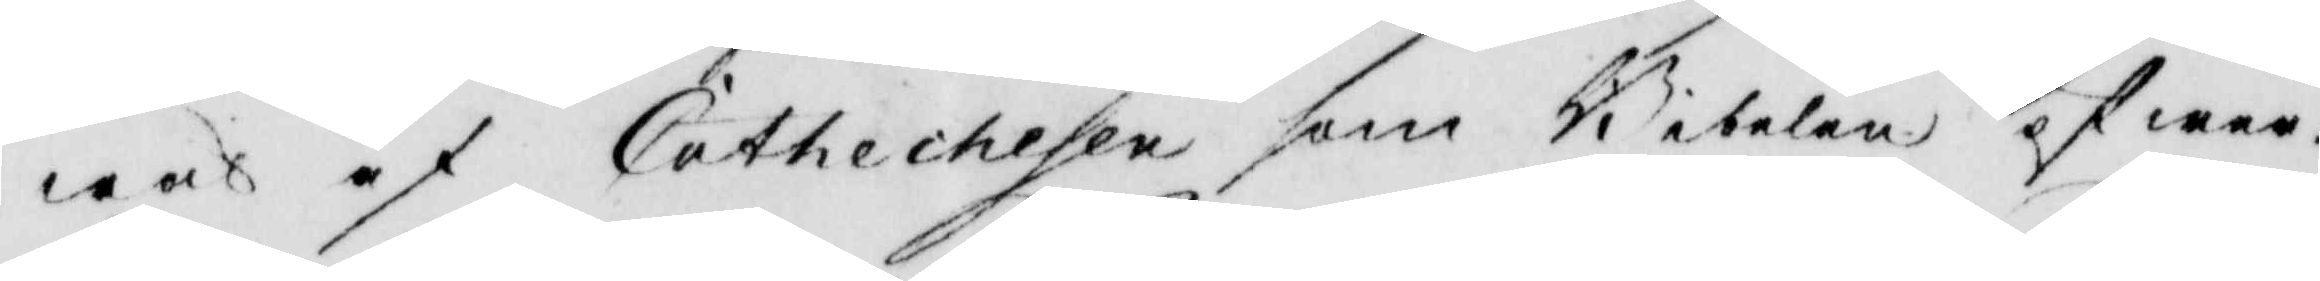wäl af Cathechesen som Bibelen öfwer¬
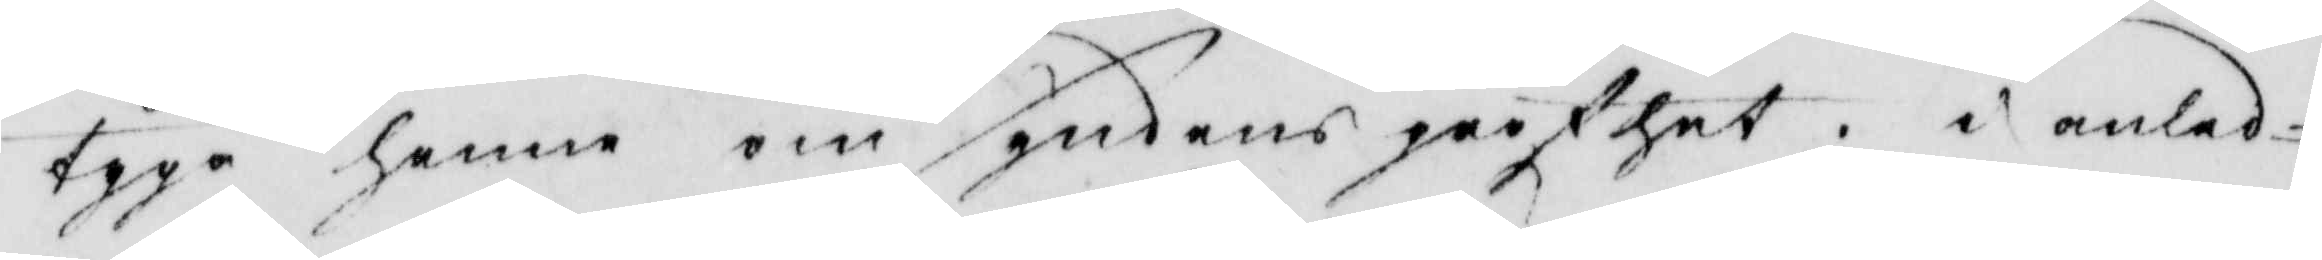tyga henne om syndens grofhet, i anled¬
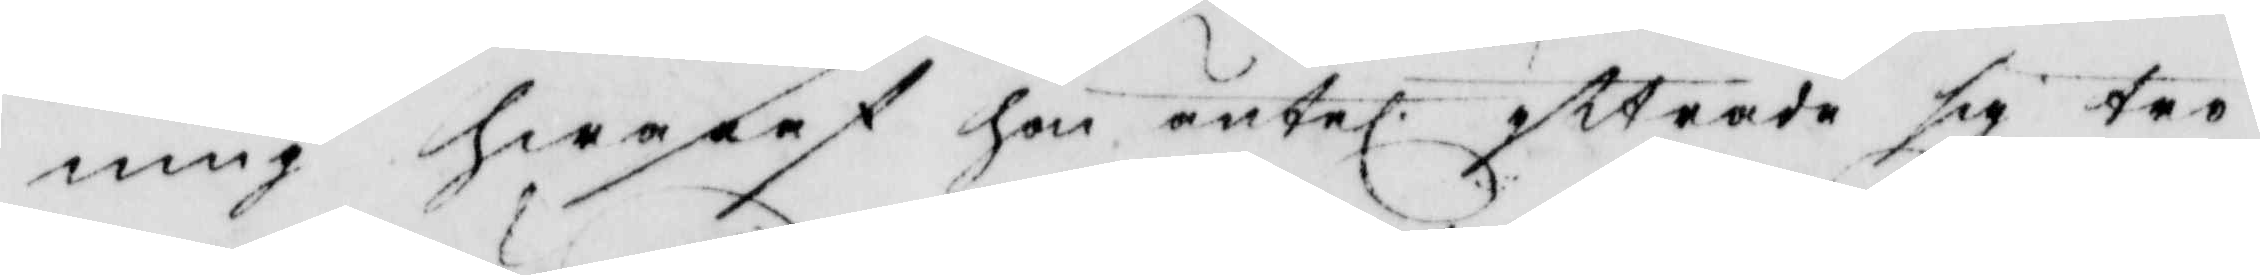ning hwaraf hon äntel. yttrade sig tro
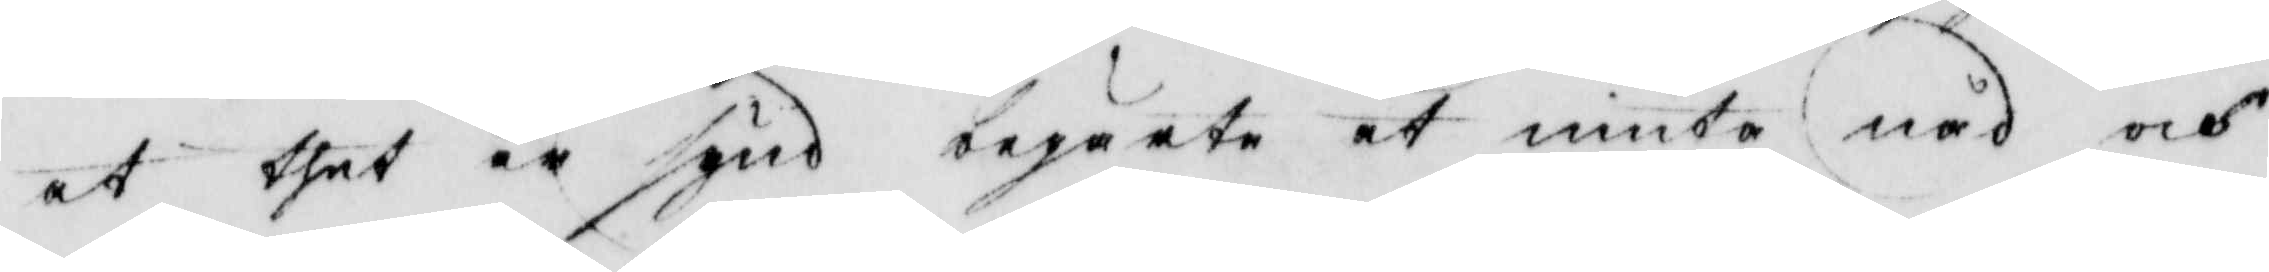at thet är synd begärte at niuta nåd och
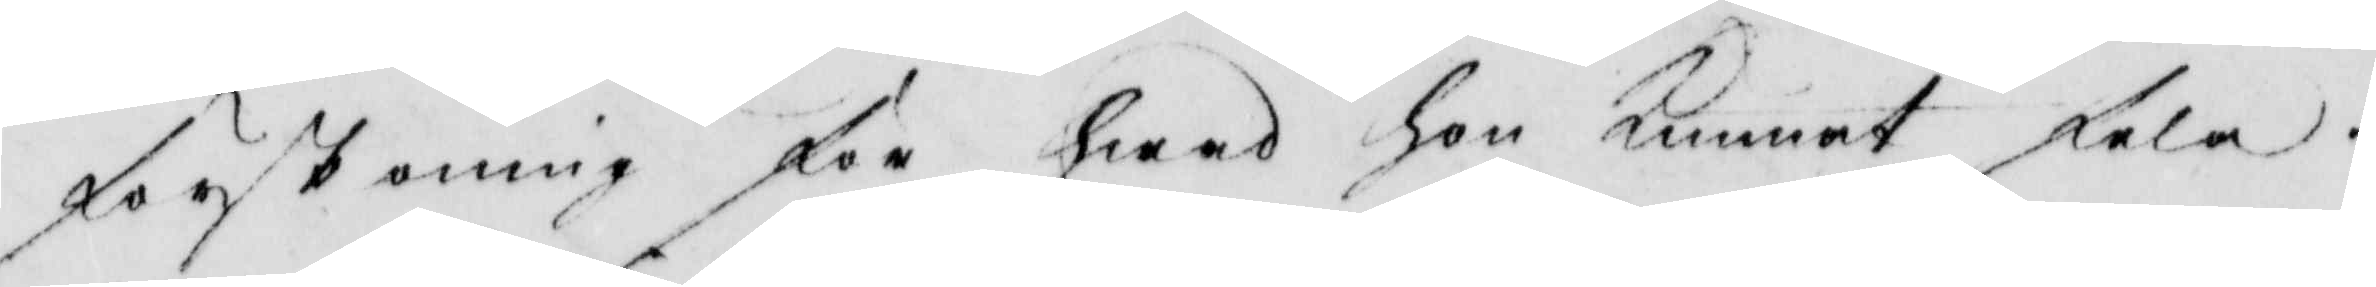förskoning för hwad hon Kunnat fela.
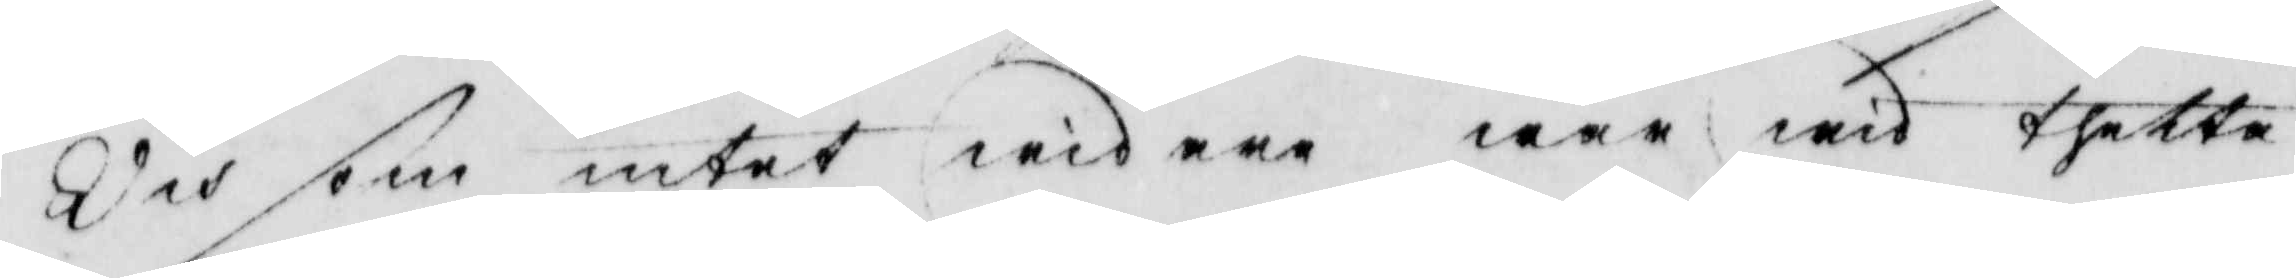Och som intet widare war wid thetta
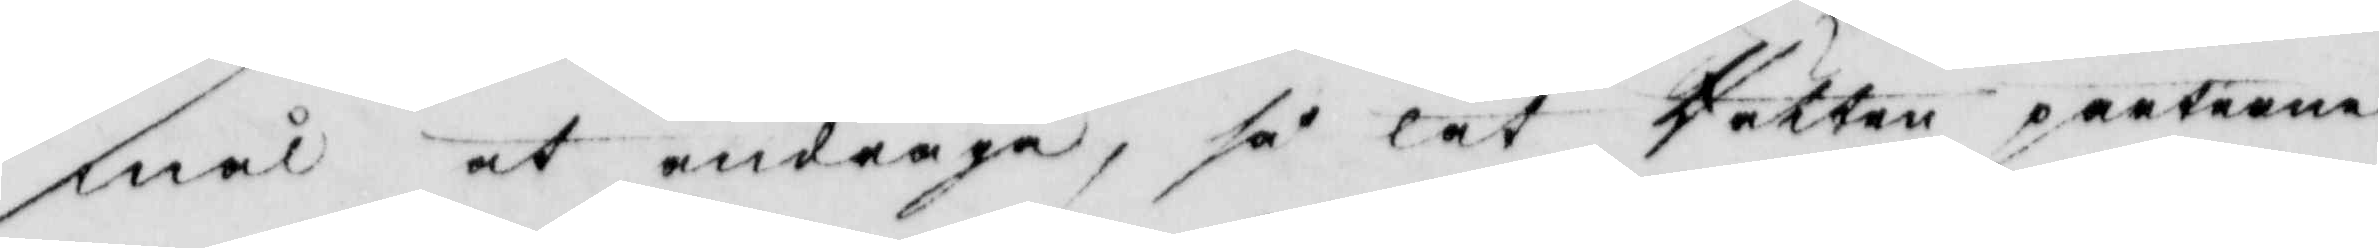mål at andraga, så lät Rätten parterna
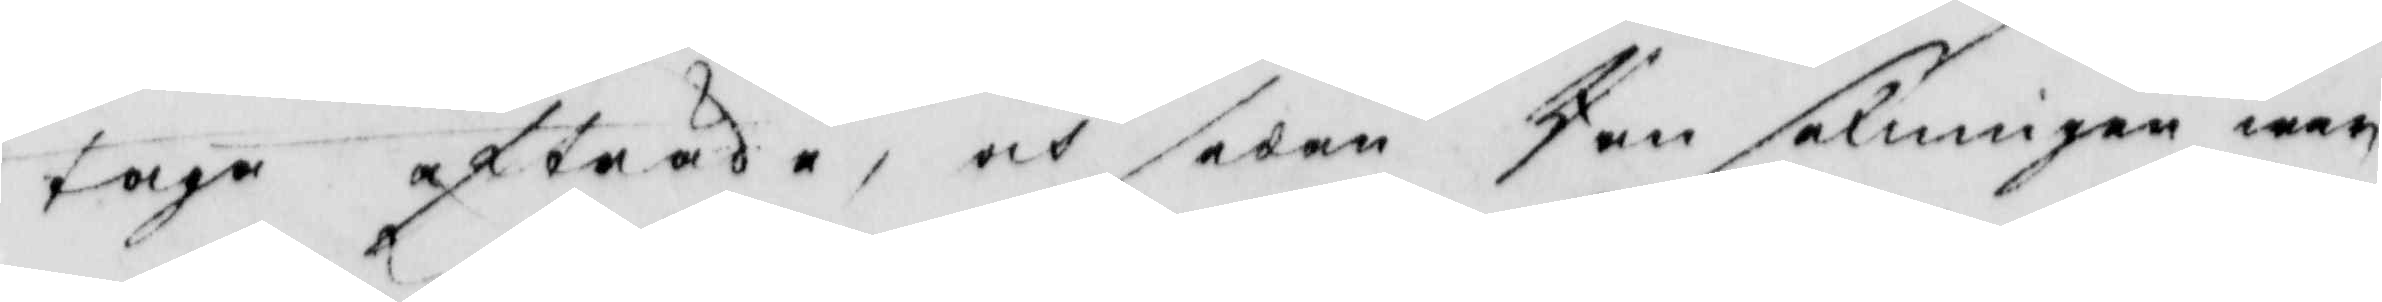taga afträde, och sedan Ransakningen war
